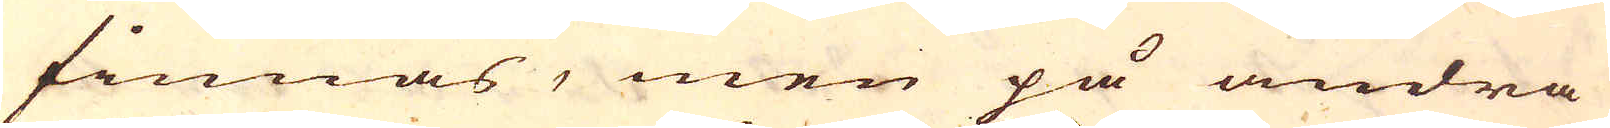finnas, men på andra
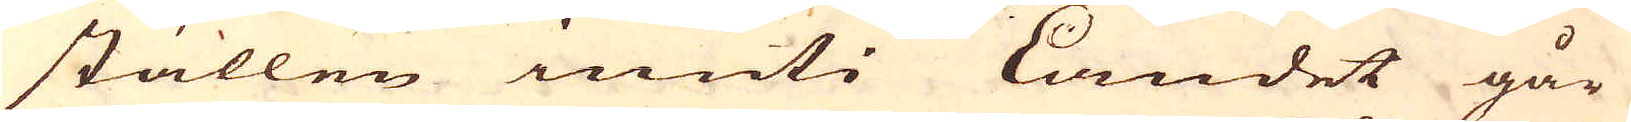ställen inuti Landet går
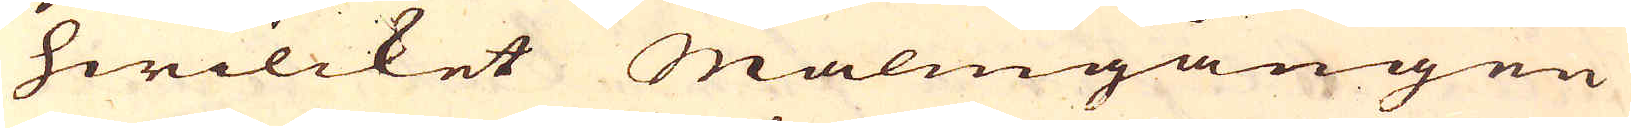hwilcket Malmgången
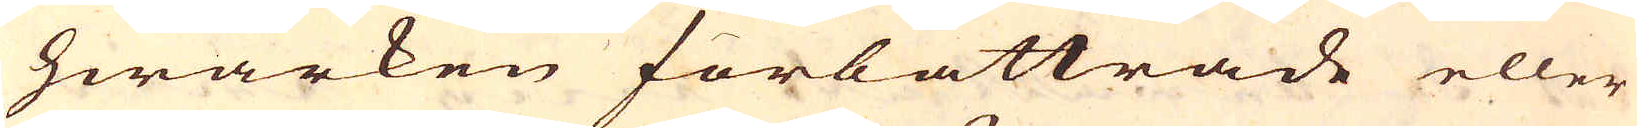hwarken förbättrade eller
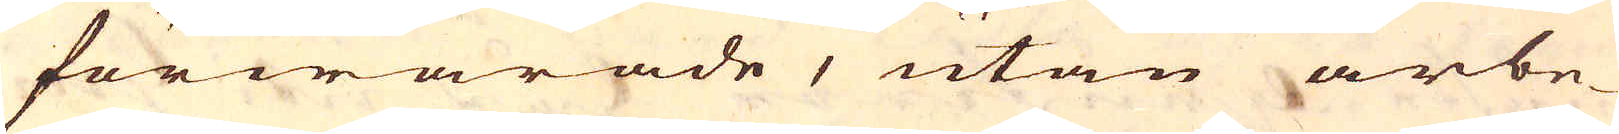förwärade, utan arbe-
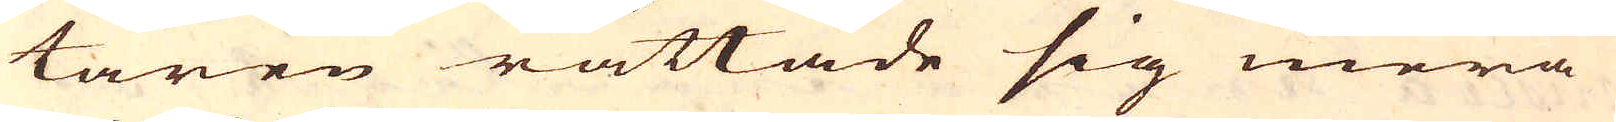taren rättade sig mera
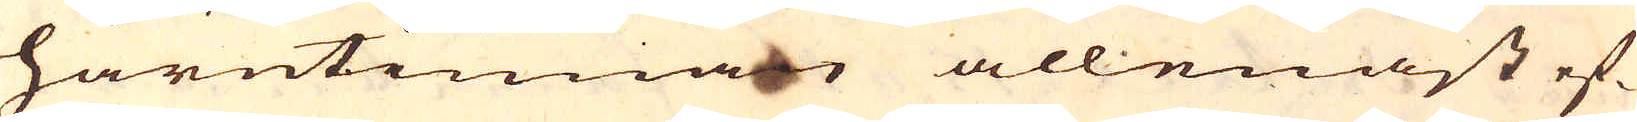härutinnan allenast ef-
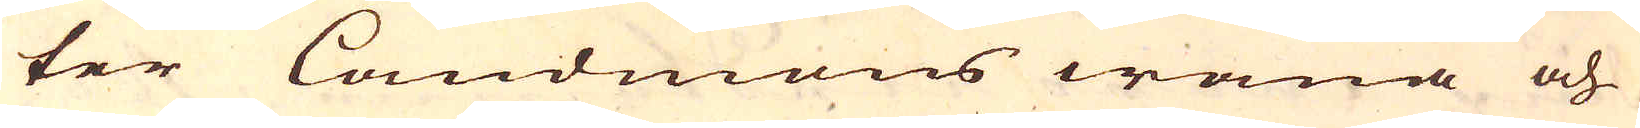ter landmons wana och
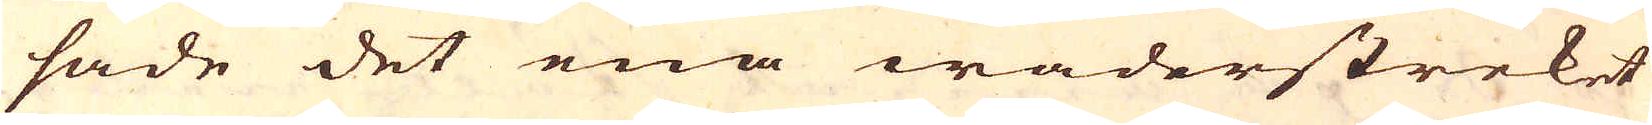sade det ena wäderstreket
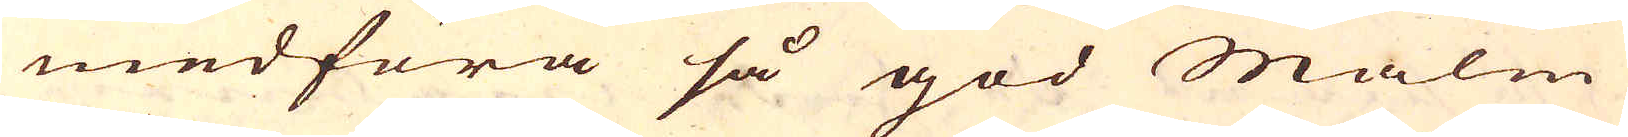medföra så god Malm
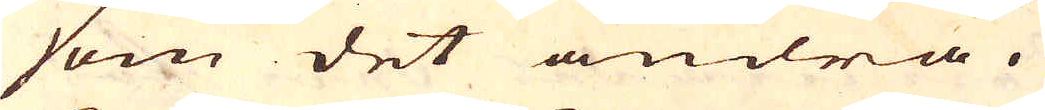som det andra.
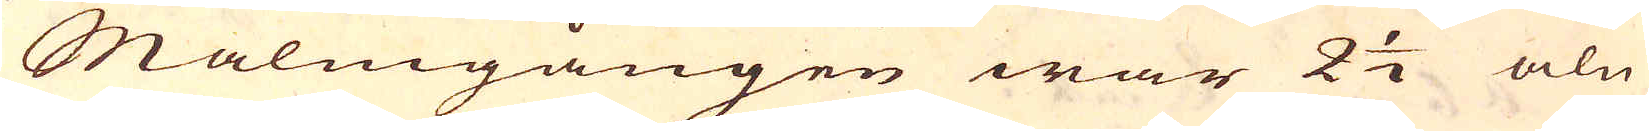Malmgången war 2 1/2 aln
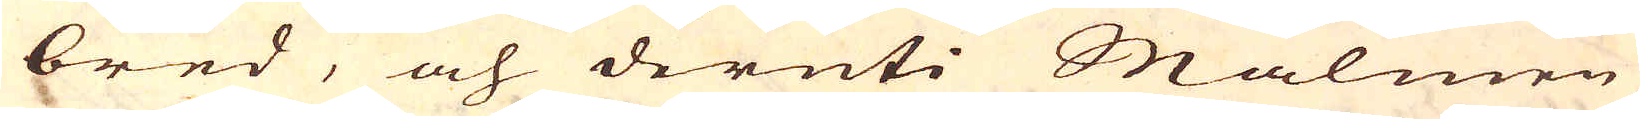bred, och deruti Malmen
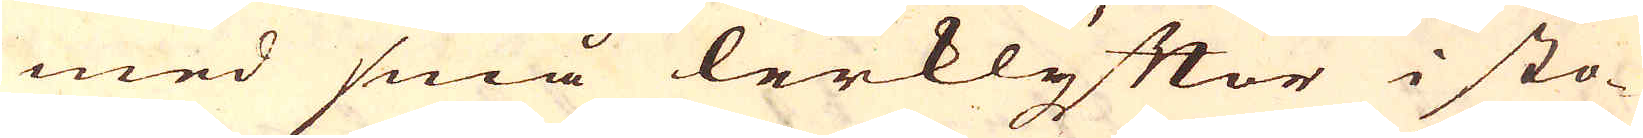med små lerklyftor i sto-
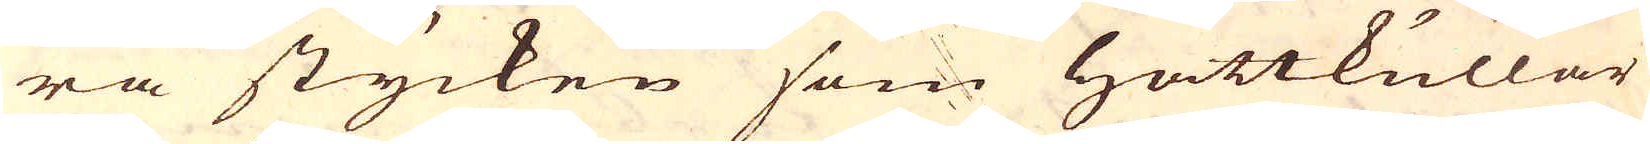ra stycken som hattkullar
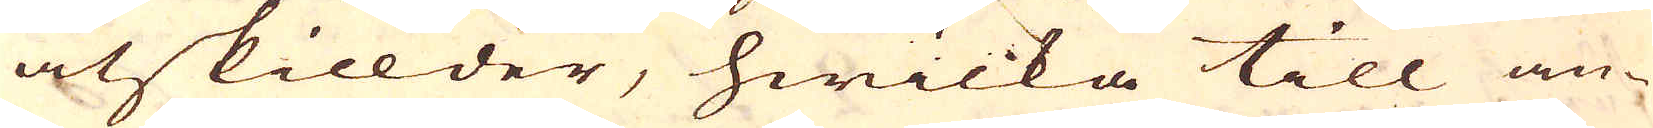åtskillder, hwilka till an-
